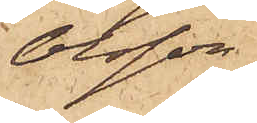Olsson
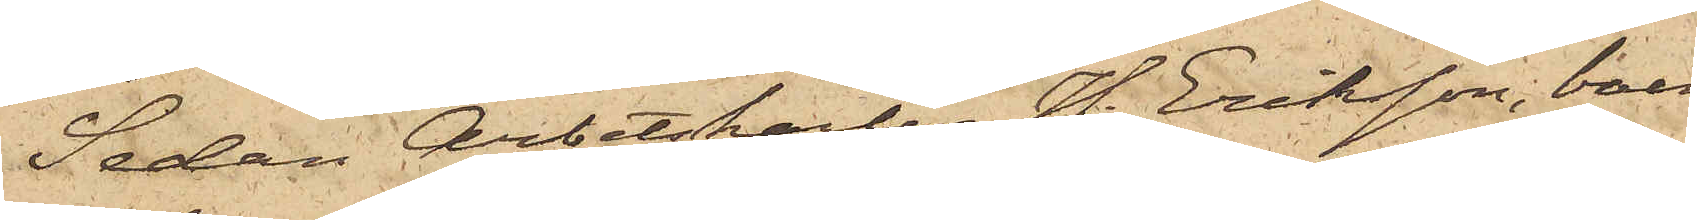Sedan Arbetskarlen H. Eriksson, boen¬
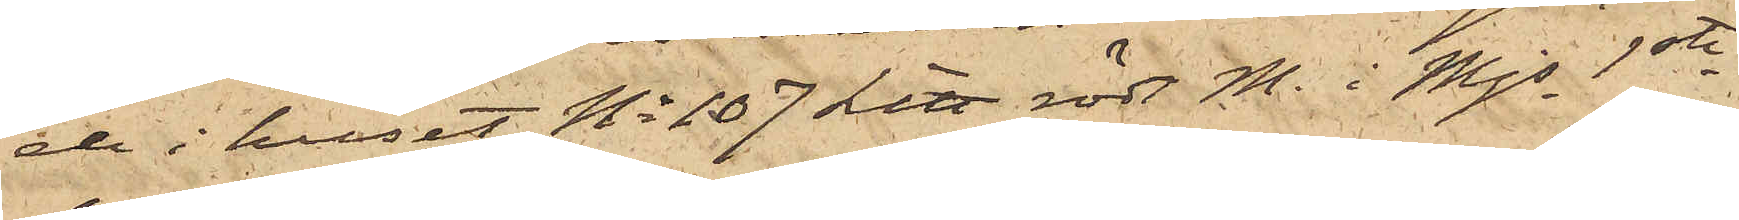de i huset No 107 Litt röd M i Mjs 1ste
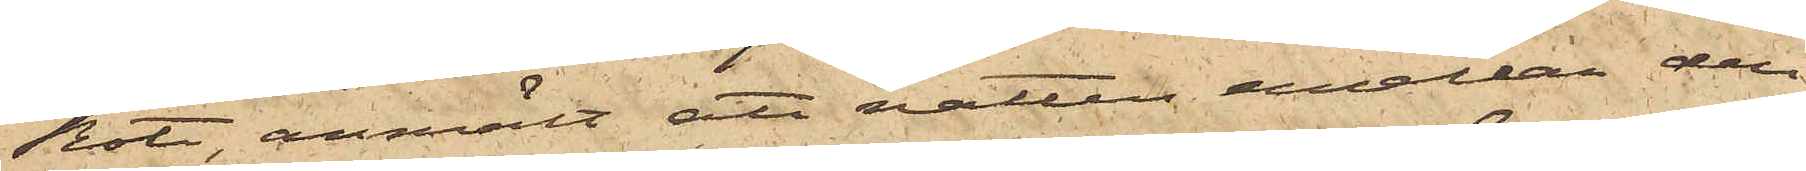Rote, anmält att natten emellan den
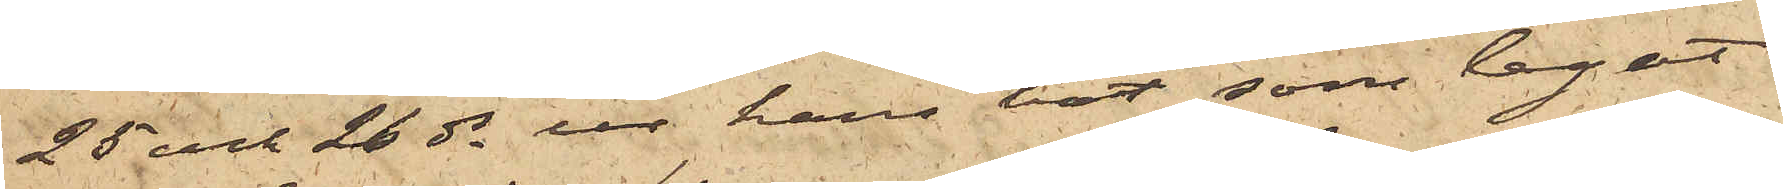25 och 26 ds ur hans båt, som legat
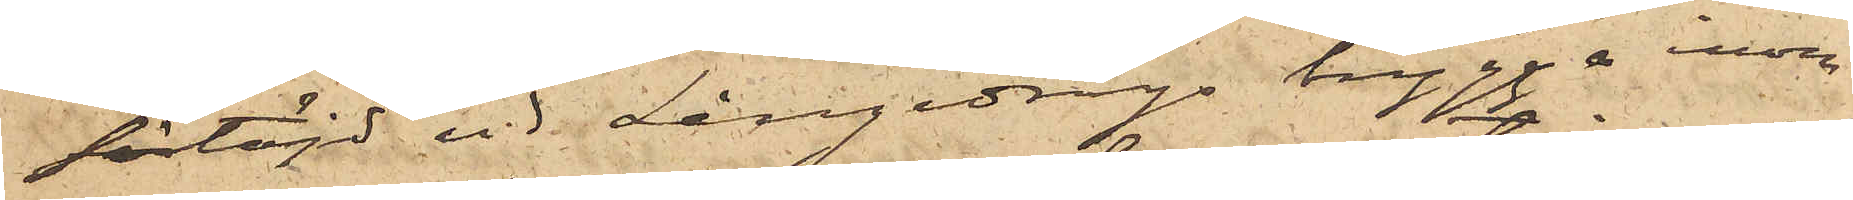förtöjd vid Långedrags brygga inom
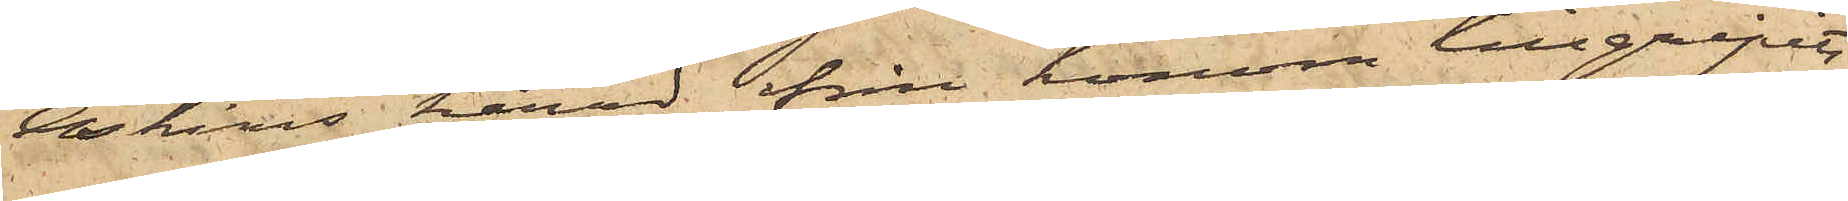Askims härad, från honom tillgripits
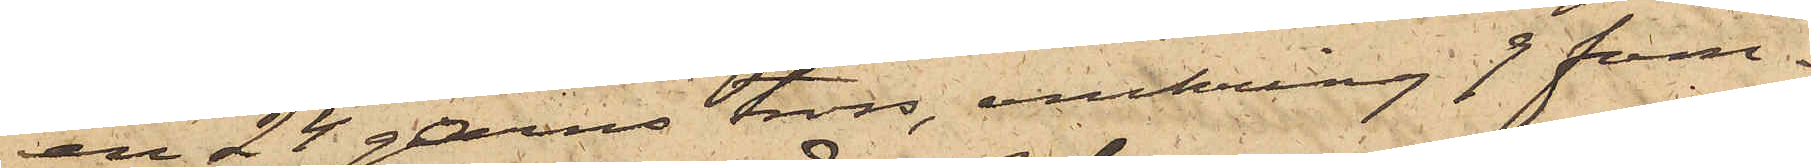en 24 garns tross, omkring 9 fam¬
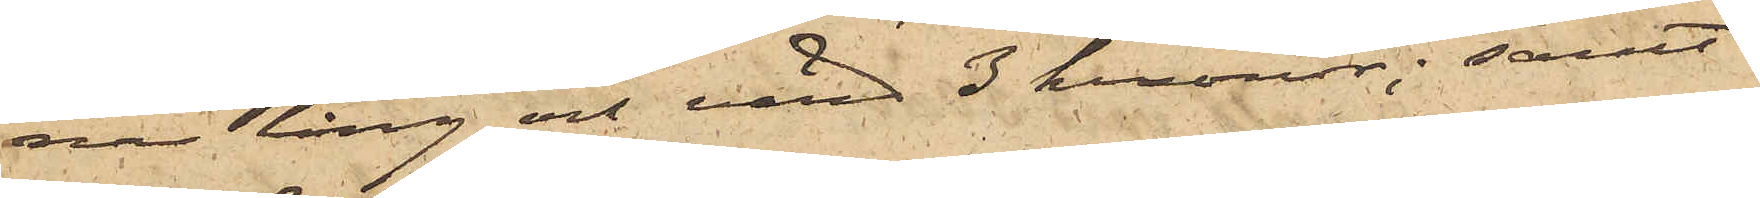nar lång och värd 3 kronor; samt
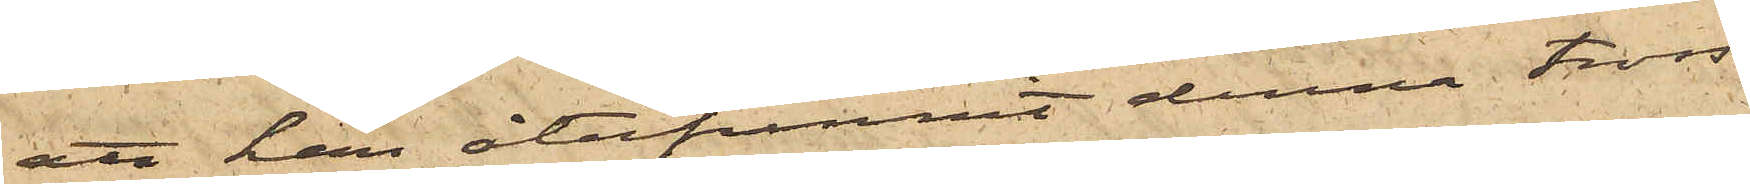att han återfunnit denna tross
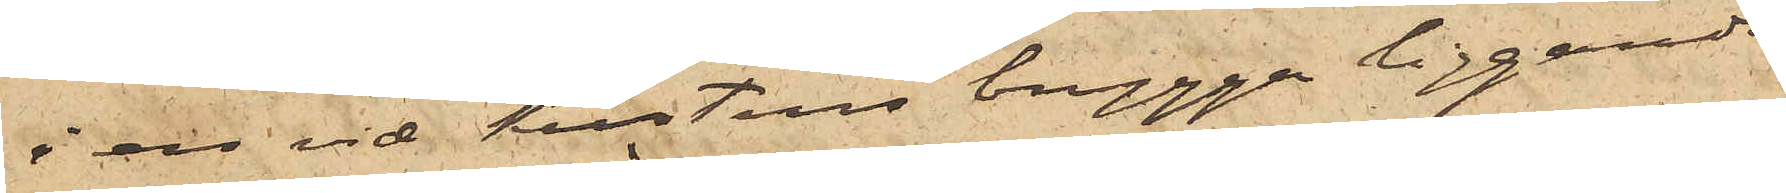i en vid Kustens brygga liggande
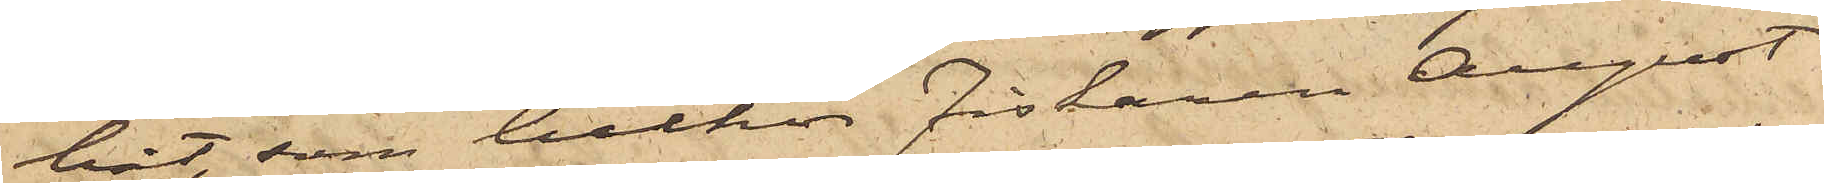båt, som tillhör Fiskaren August
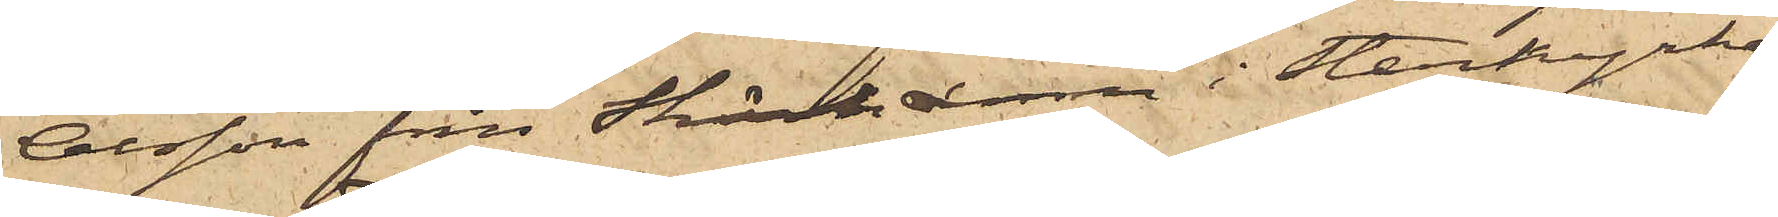Olsson från Skärhamn i Stenkyrke
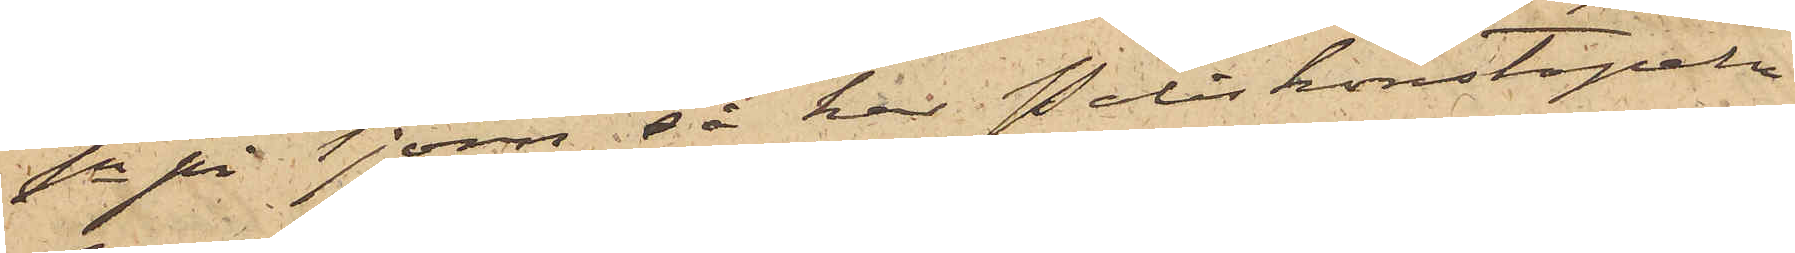Sn på Tjörn, så har Poliskonstapeln
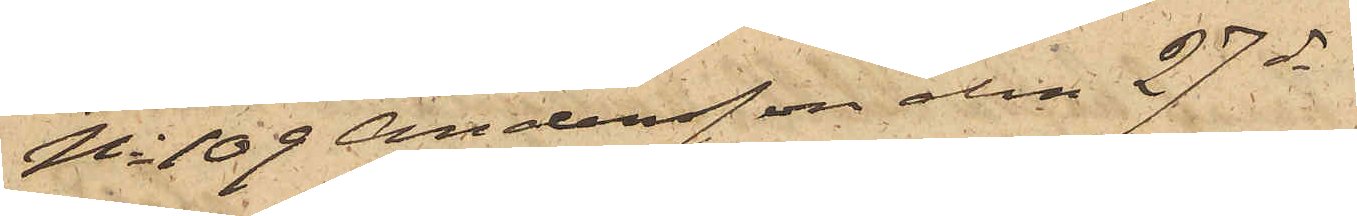No 109 Andersson den 27 ds
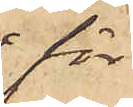för
